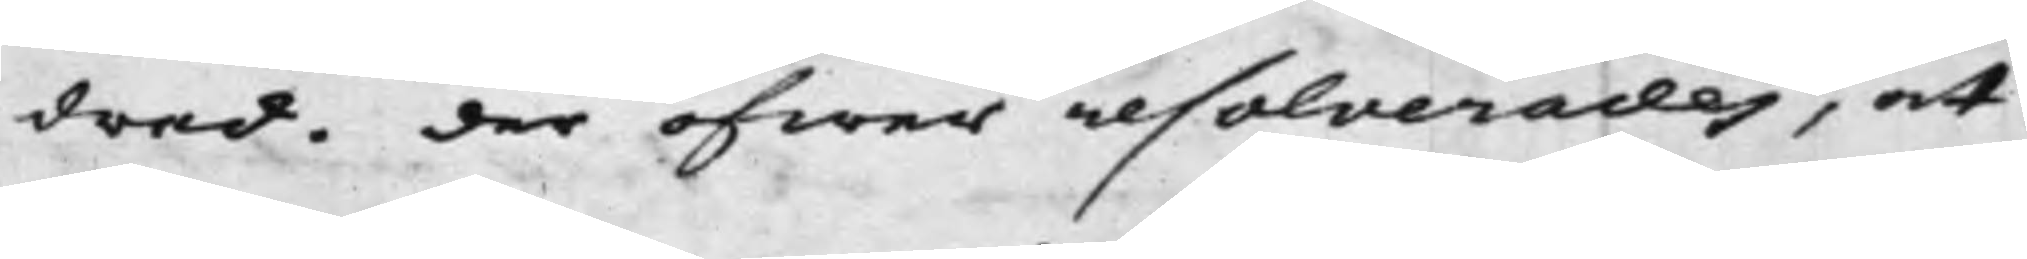drad. der öfwer resolverades, at
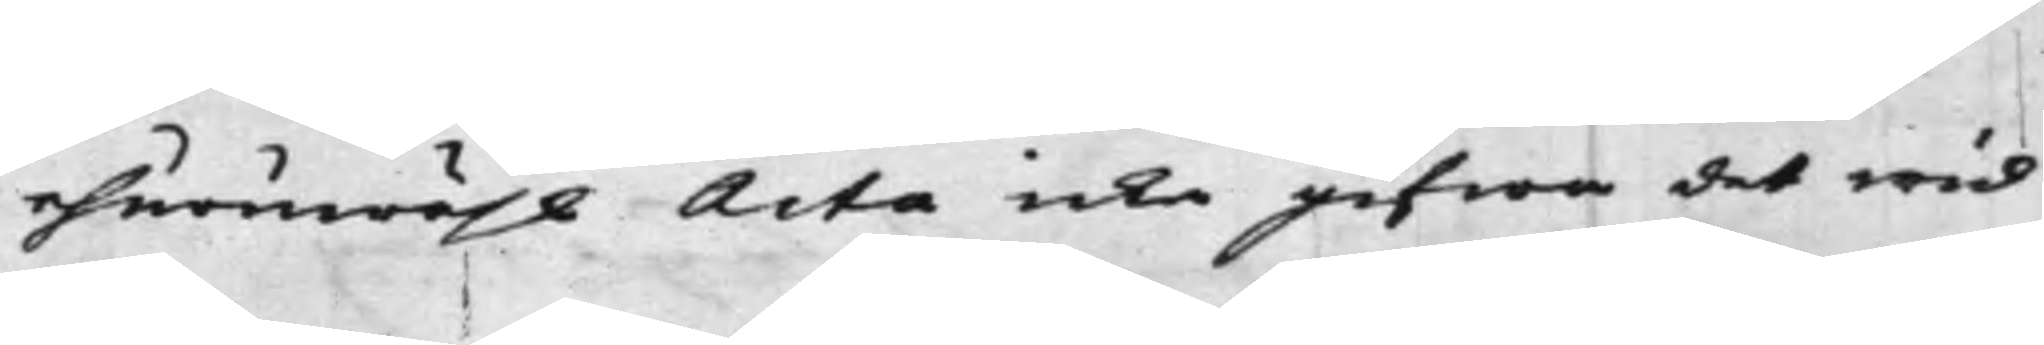ehuruwähl Acta icke gifwa det wid
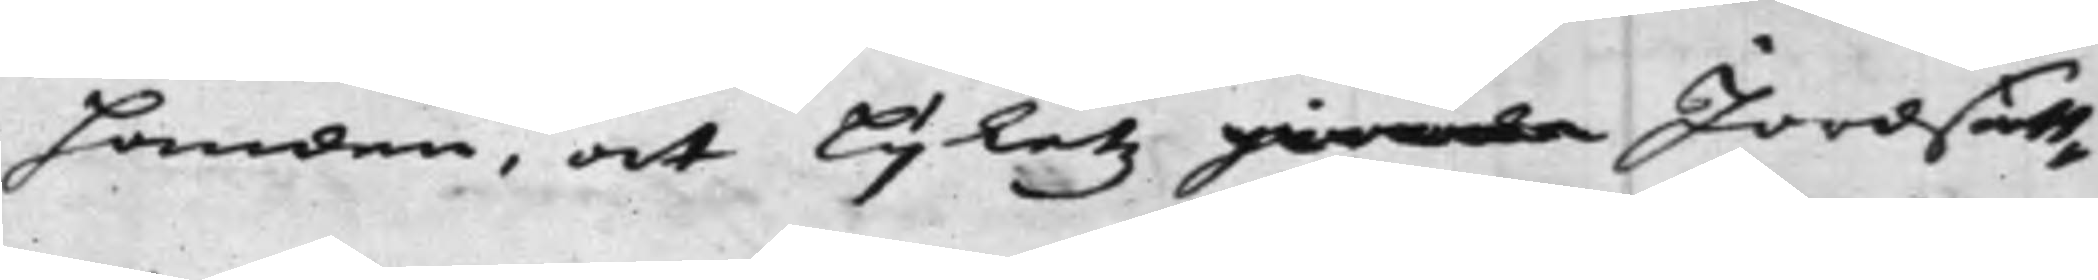Handen, at Lijketz giorda Jordsätt¬
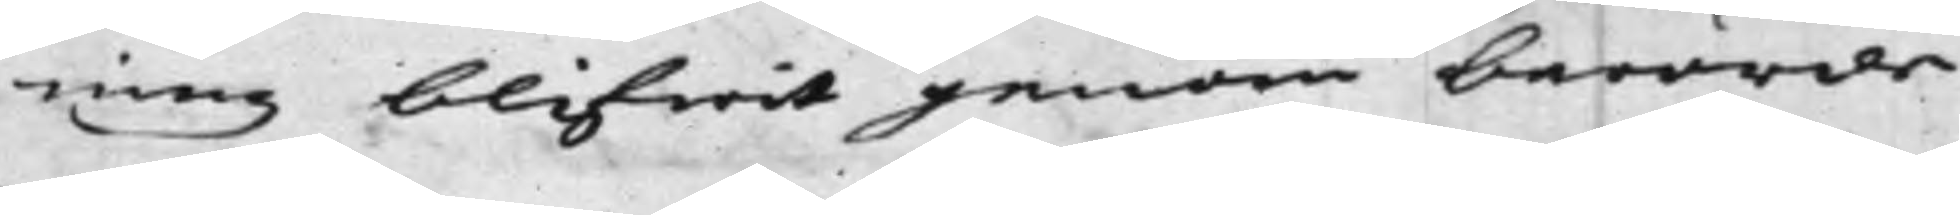ning blifwit genom berörde
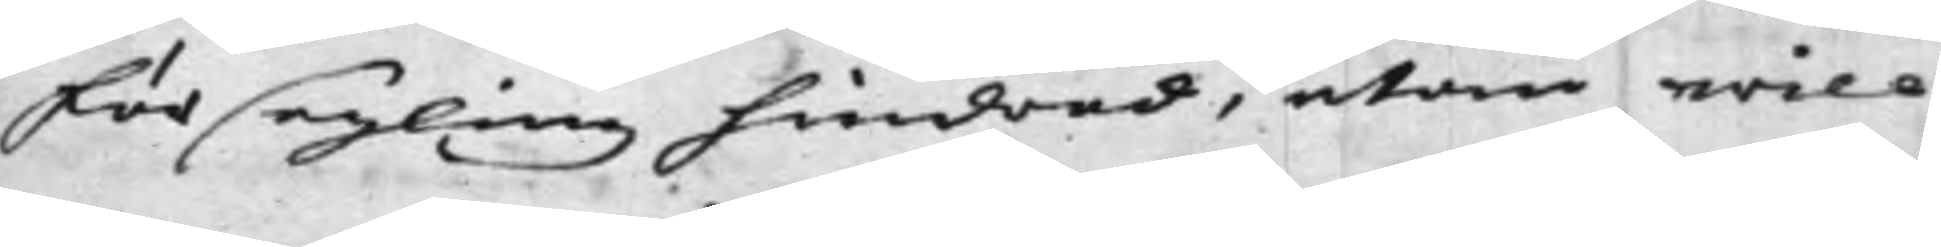försegling hindrad, utan will
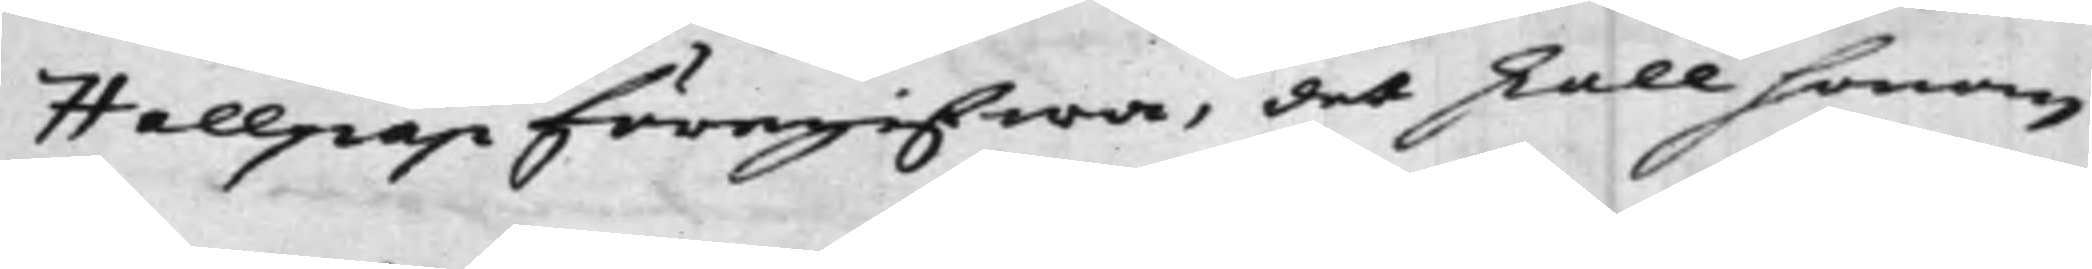Hallpap föregifwa, det skall honom
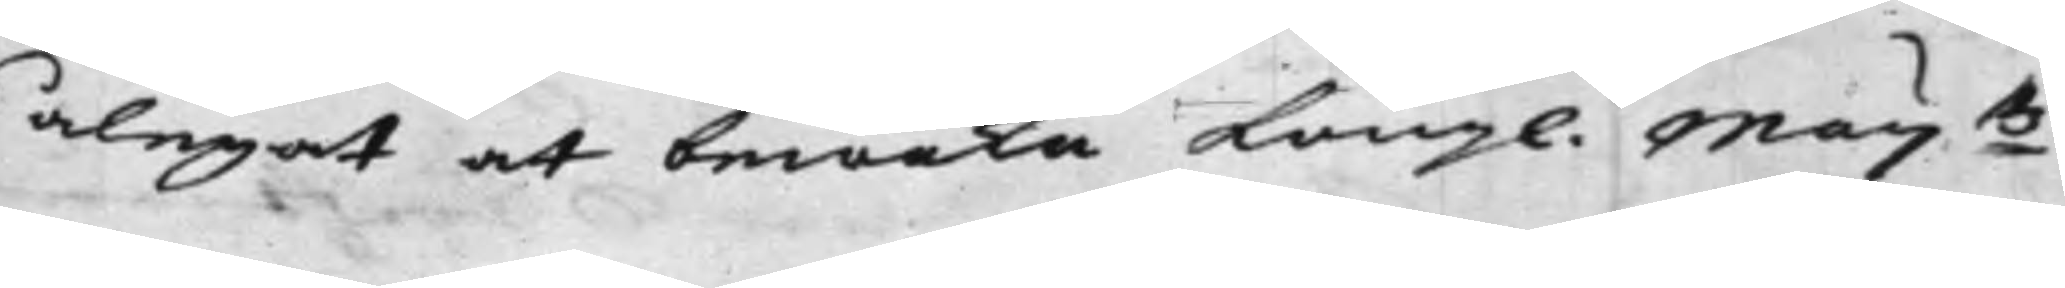ålegat at bewaka Kong. Maij:tz
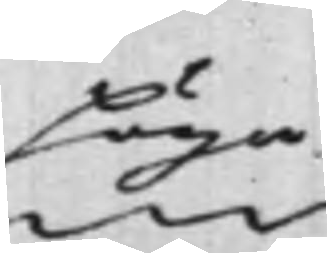Höga
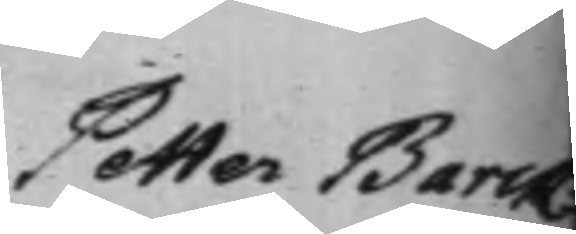Petter Barck¬
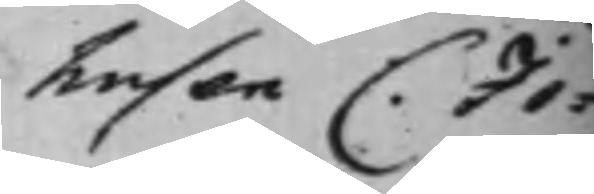husen C. Jo¬
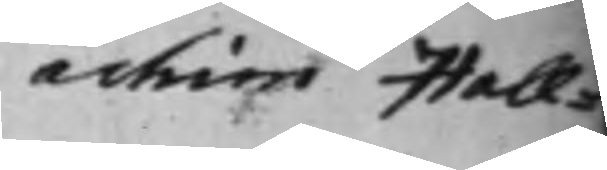achim Hall¬
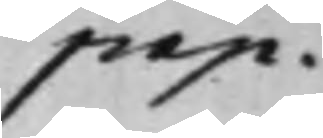pap.
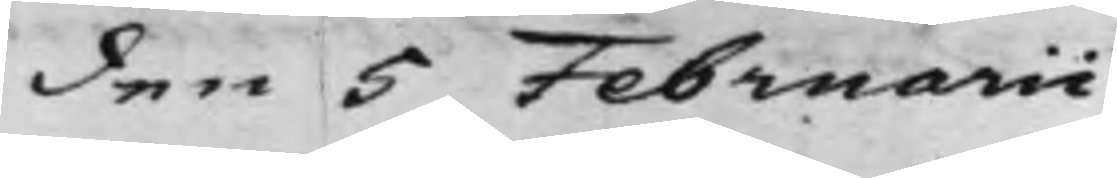den 5 Februarii
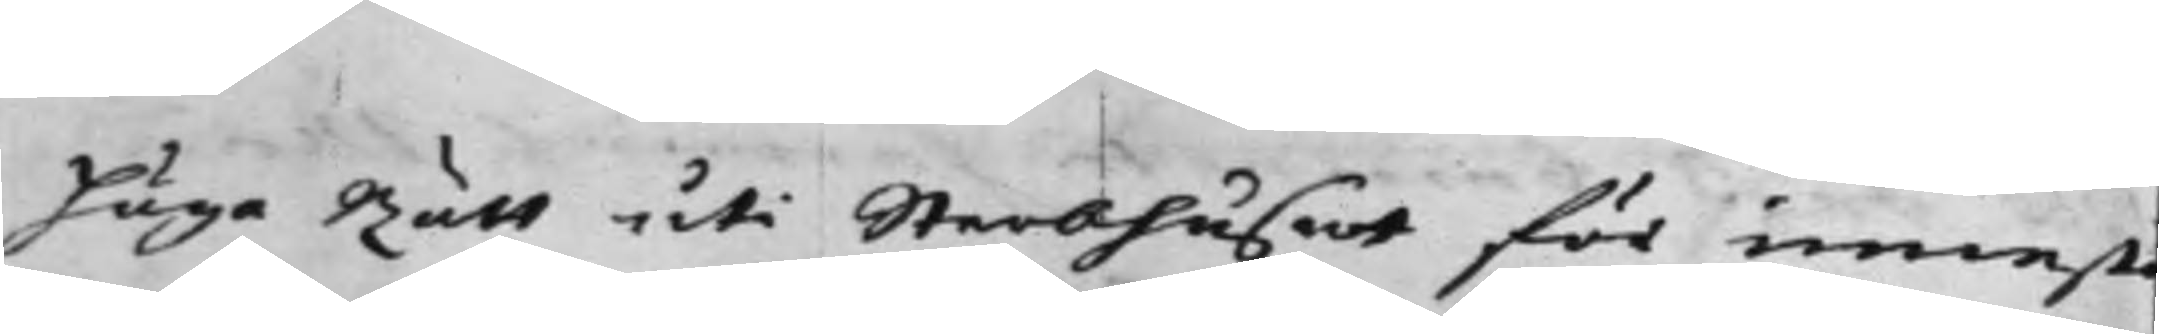Höga Rätt uti Sterbhuset för innest¬
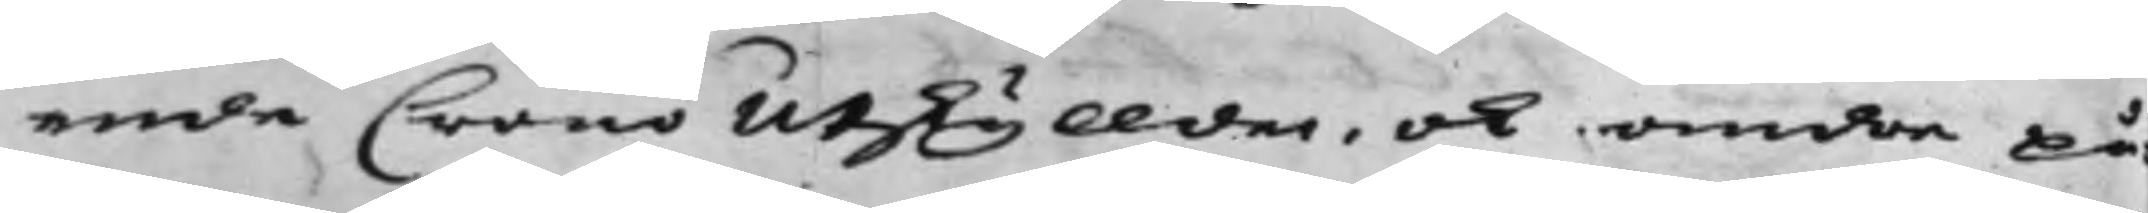enda Crono Utskyllder, och andra på¬
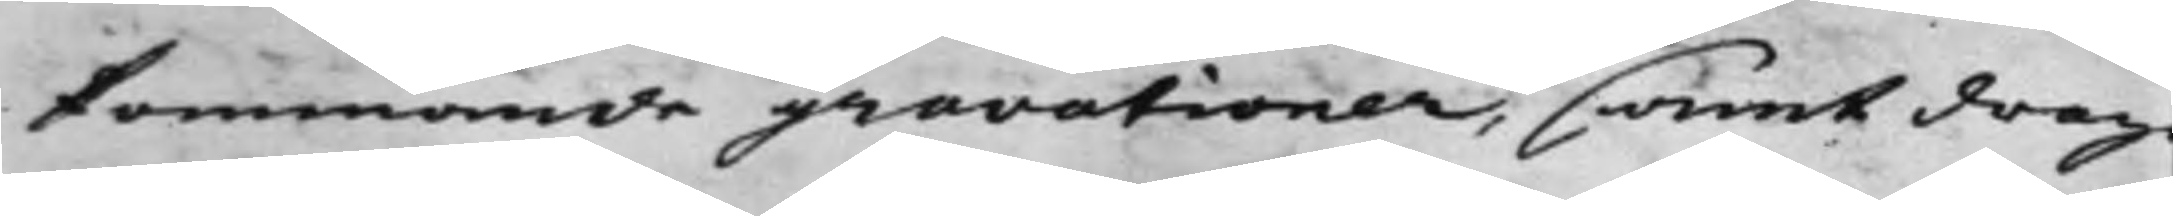kommande gravationer, samt drag
